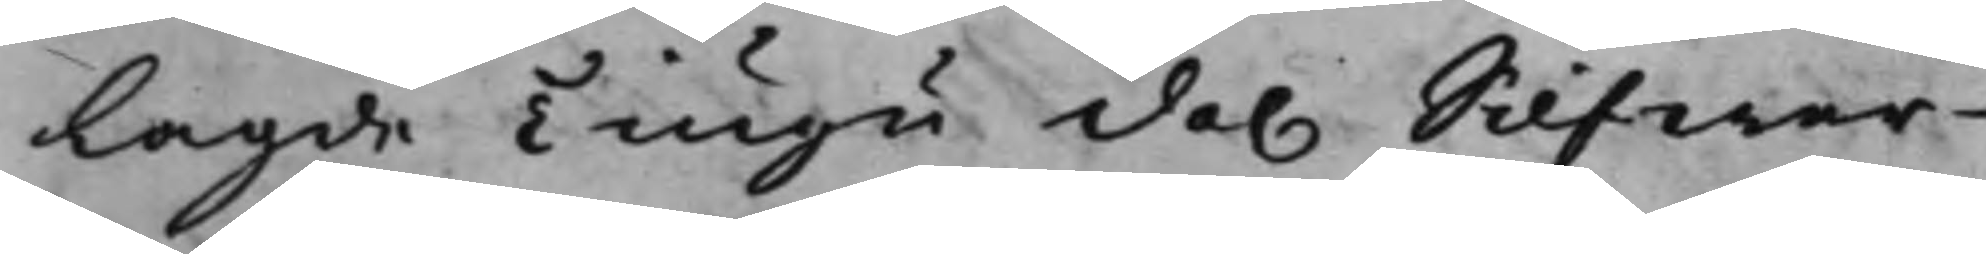lagde Tiugu dal Silfwer¬
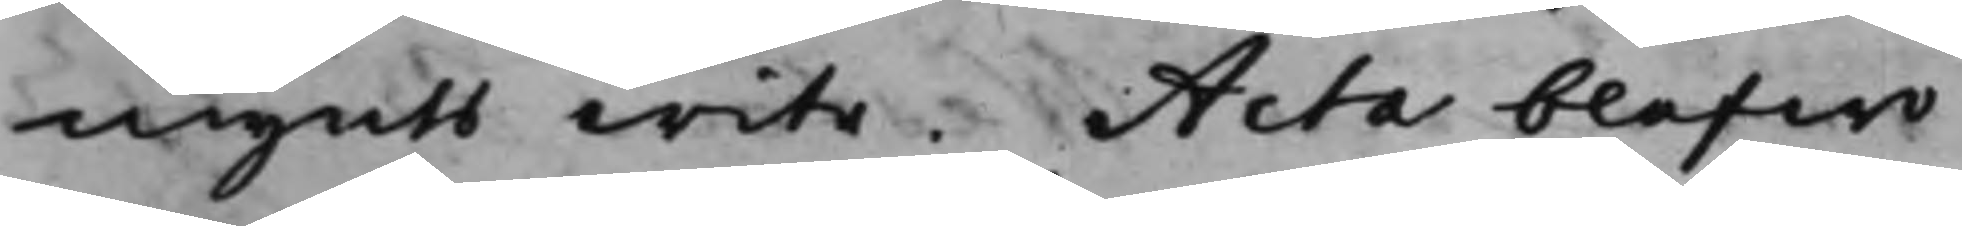mynts wite. Acta blefwo
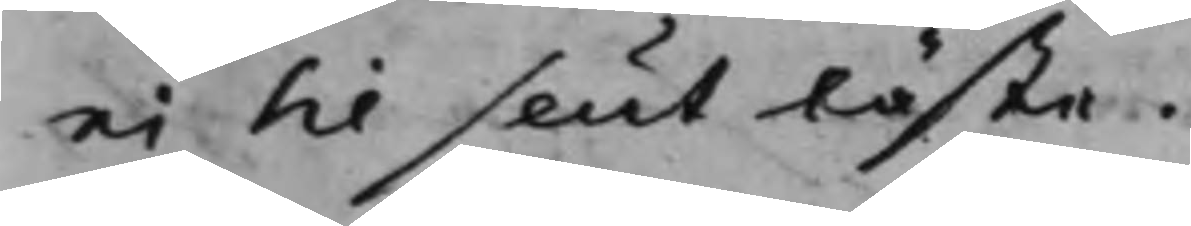ei til slut läste.
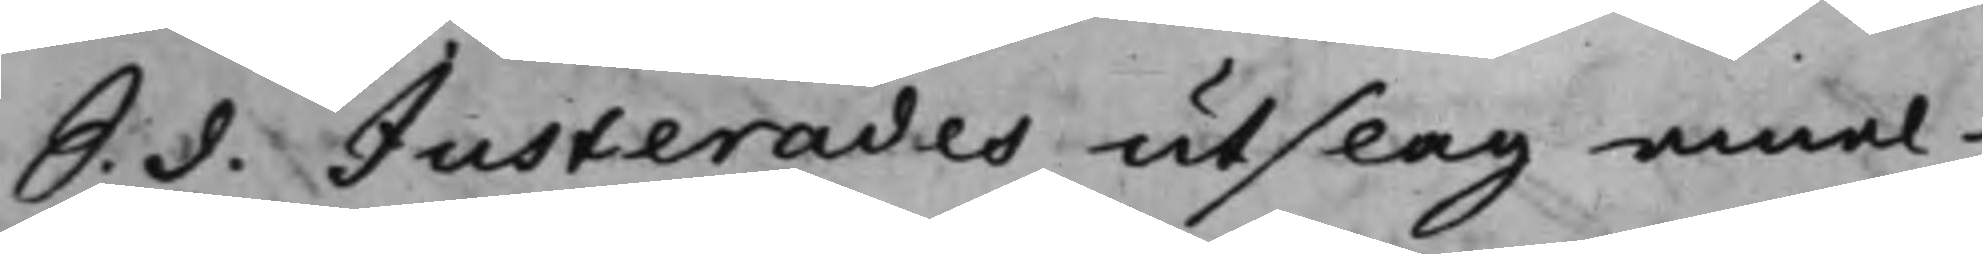S. d. Justerades utslag emel¬
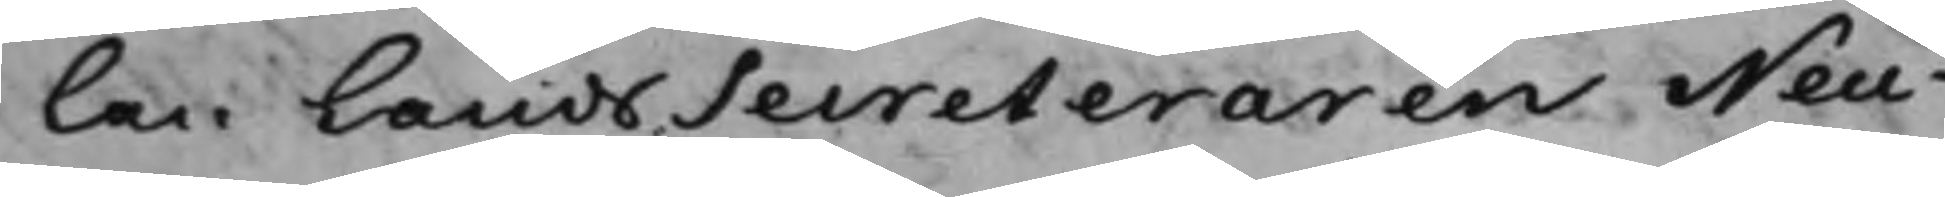lan LandsSecreteraren Neu¬
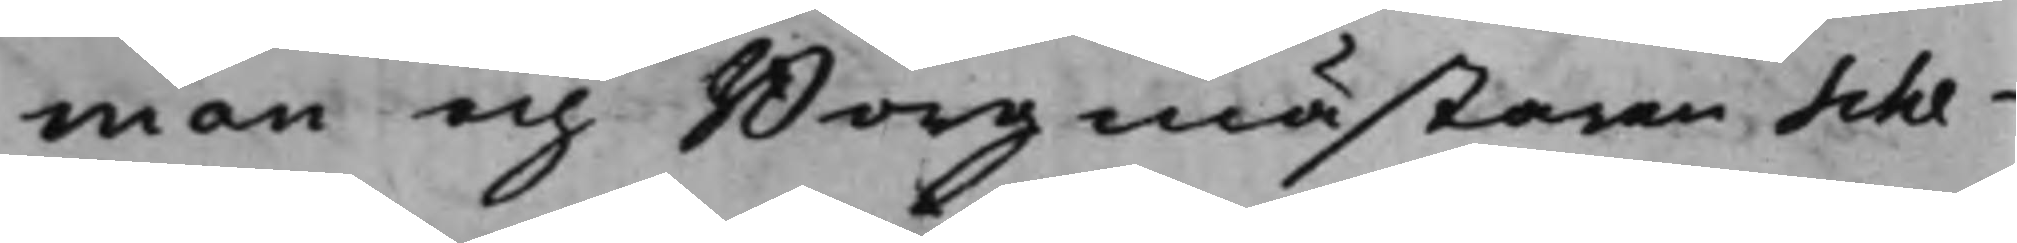man och Borgmästaren Sche¬
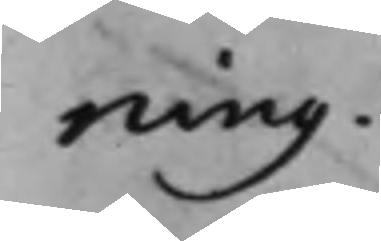ning.
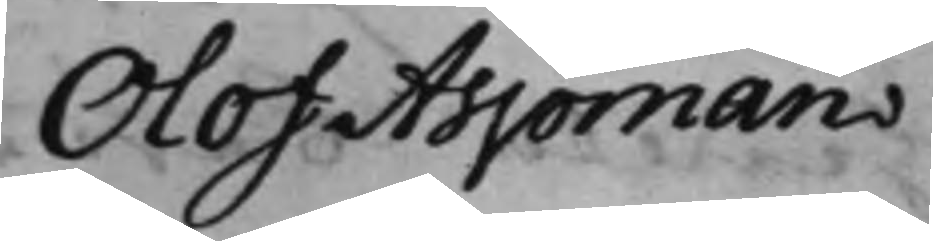Olof Aspman
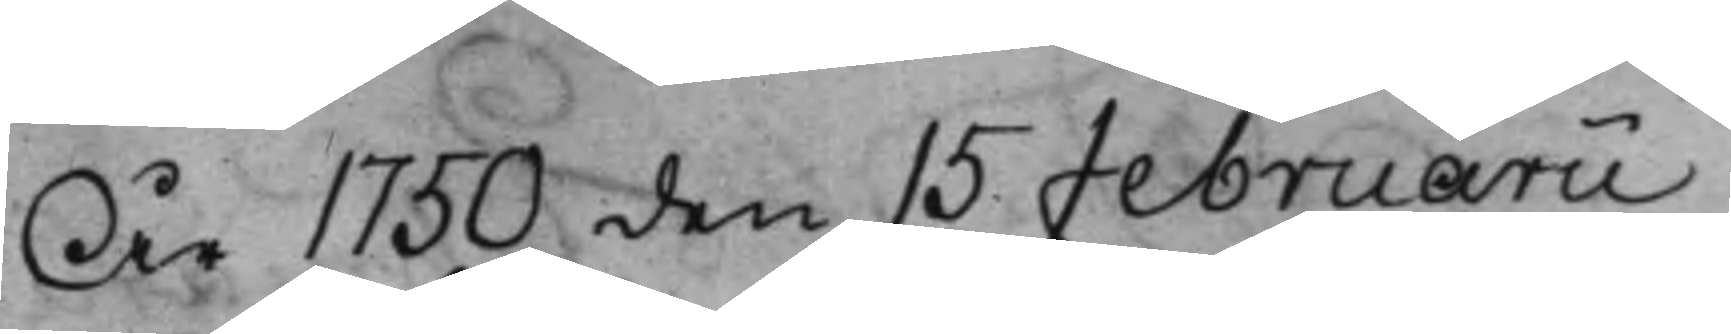År 1750 den 15 Februarii
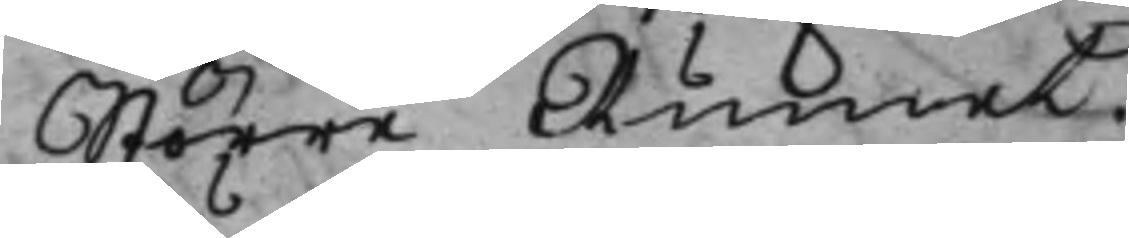Större Rummet.
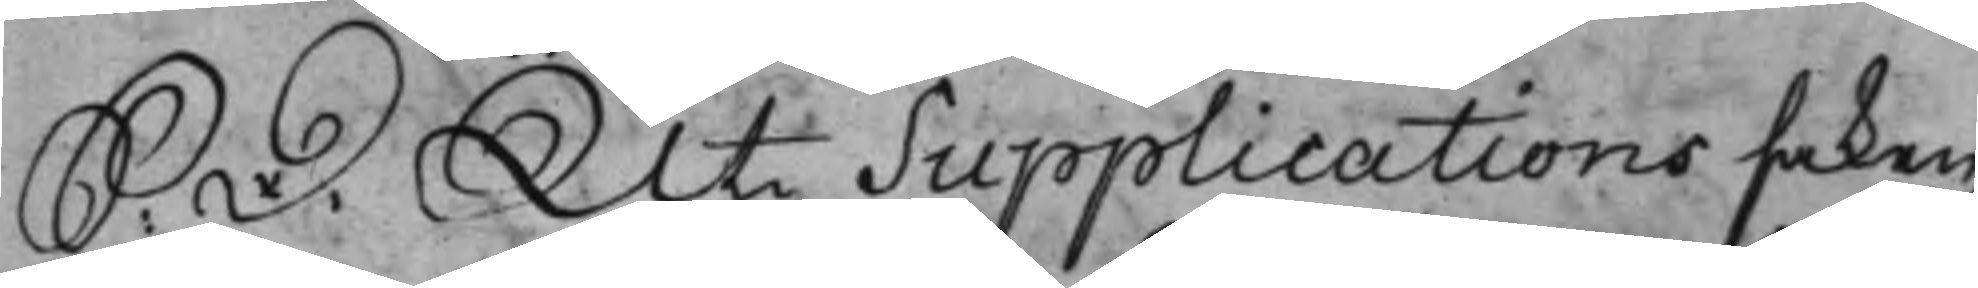S: D: Uti Supplicationssaken,
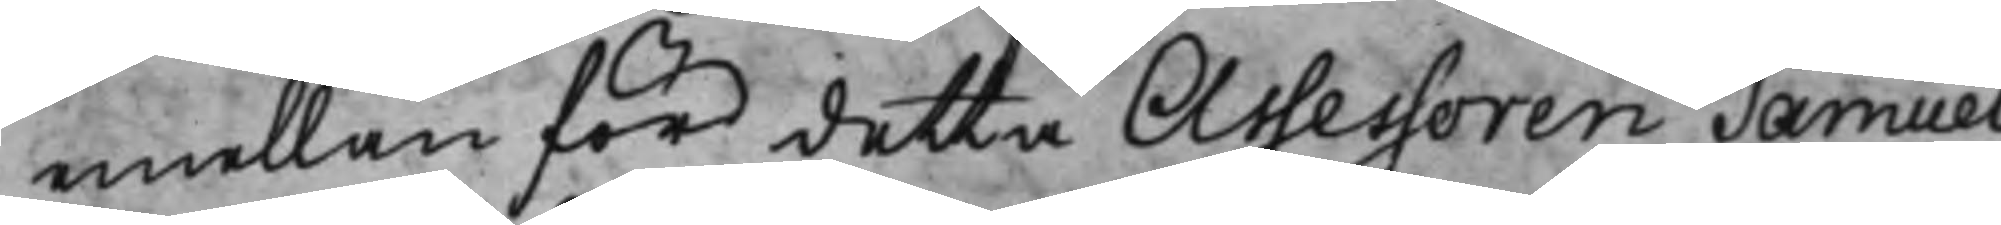mellan för detta Assessoren Samuel
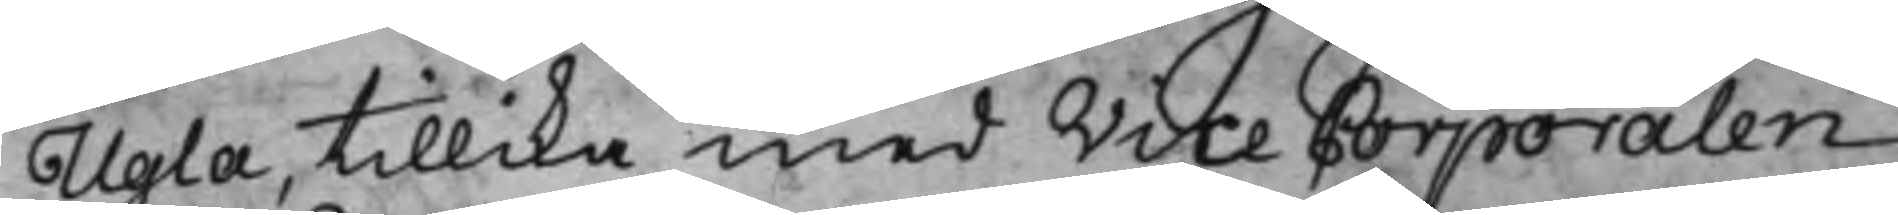Ugla, tillika med Vice Corporalen
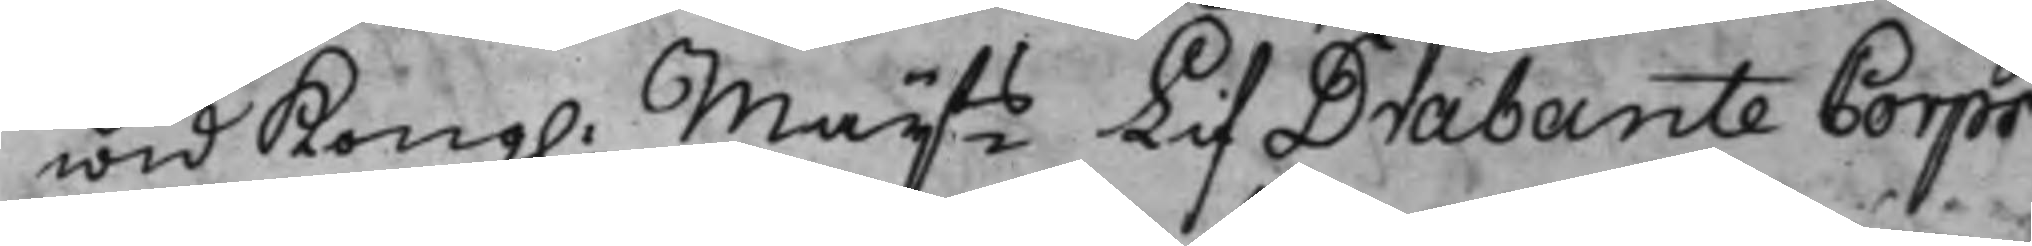wid Kong: Maijts LifDrabante Corps
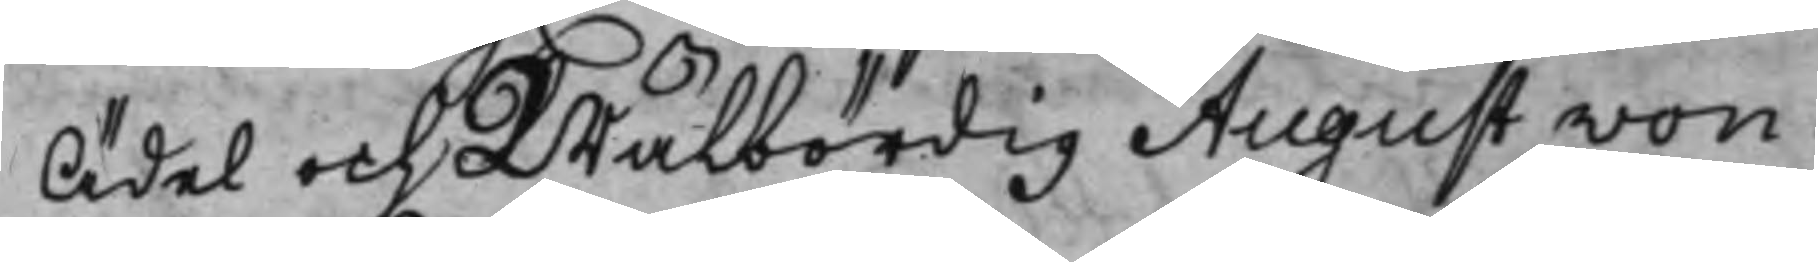Ädel och Wälbördig August von
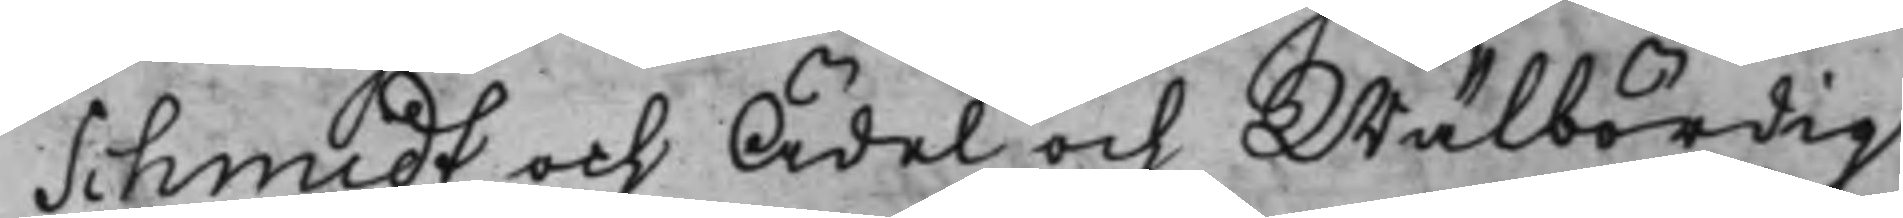Schmidt och Ädel och Wälbördig
